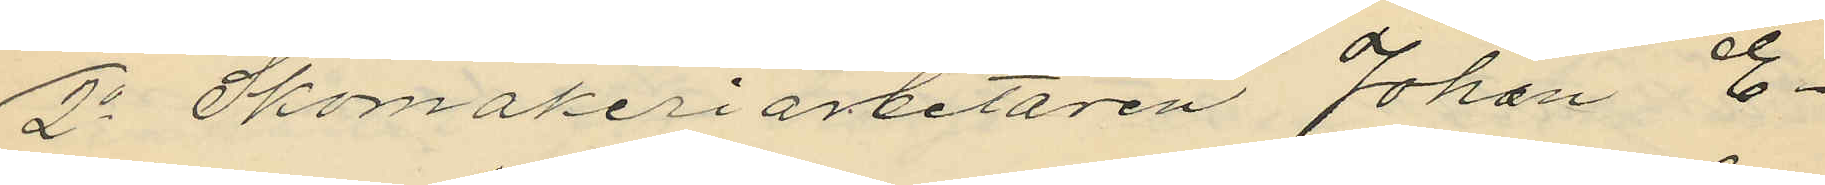2o Skomakeriarbetaren Johan E¬
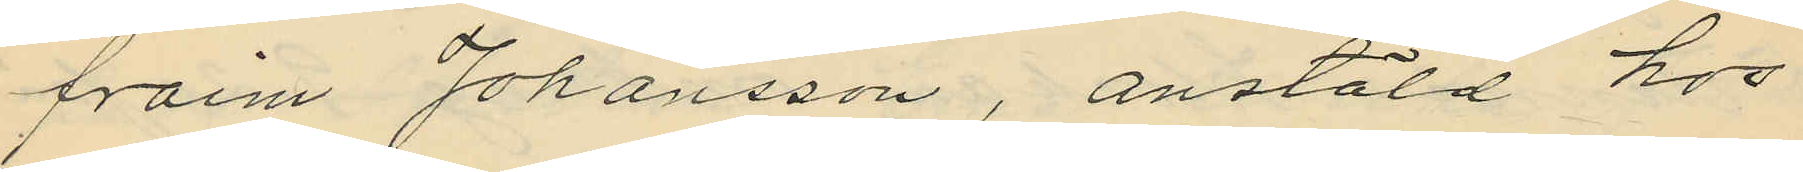fraim Johansson, anstäld hos
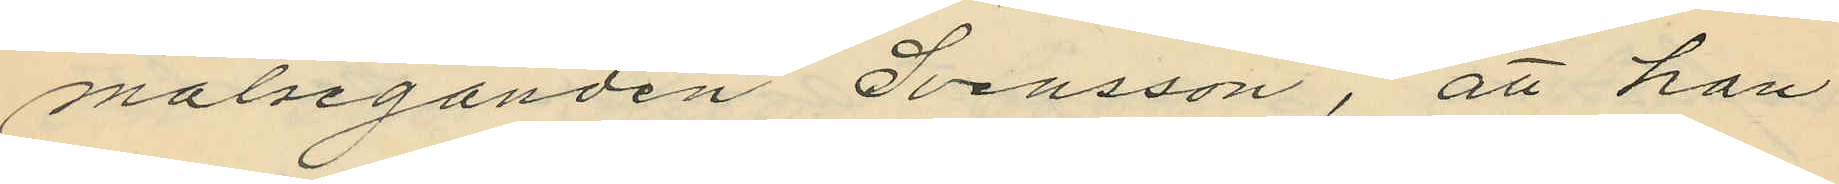målseganden Svensson, att han
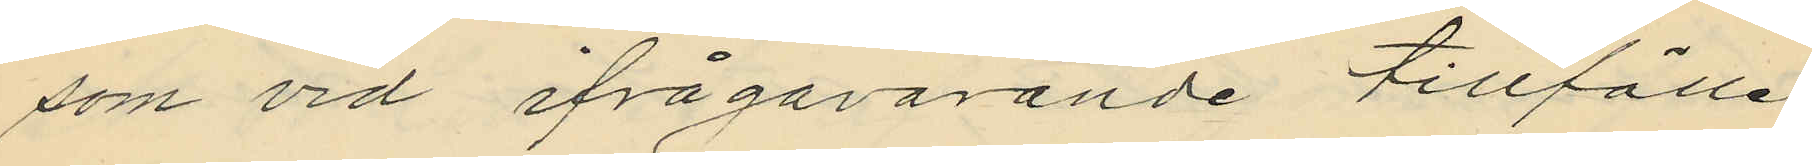som vid ifrågavarande tillfälle
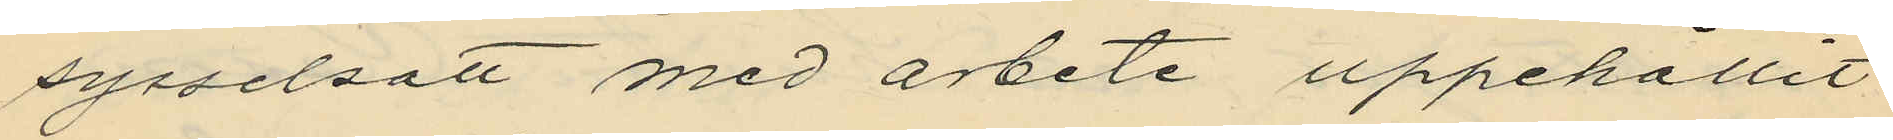sysselsatt med arbete uppehållit
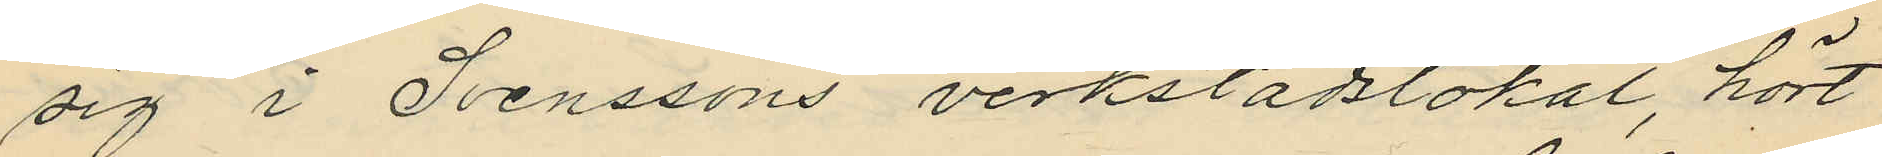sig i Svenssons verkstadslokal, hört
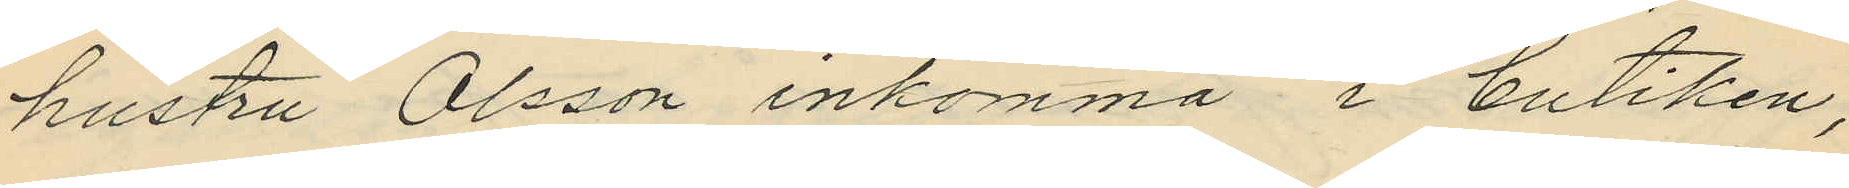hustru Olsson inkomma i butiken,
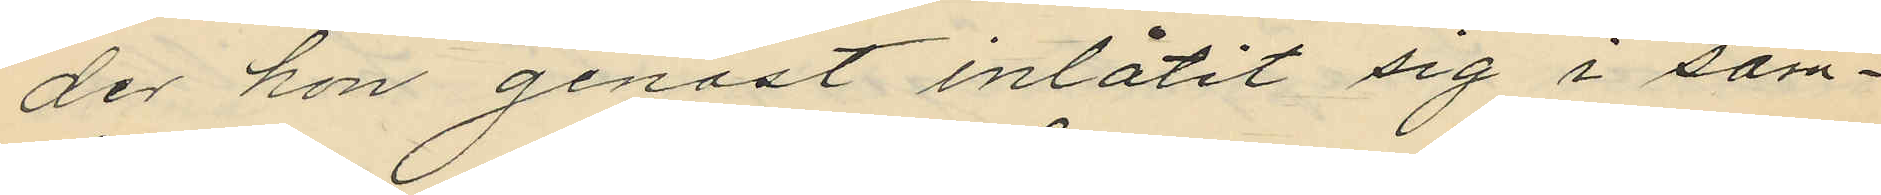der hon genast inlåtit sig i sam¬
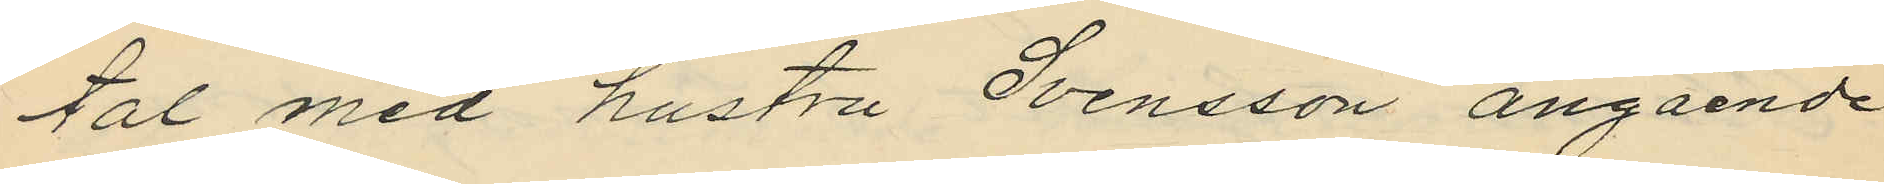tal med hustru Svensson angående
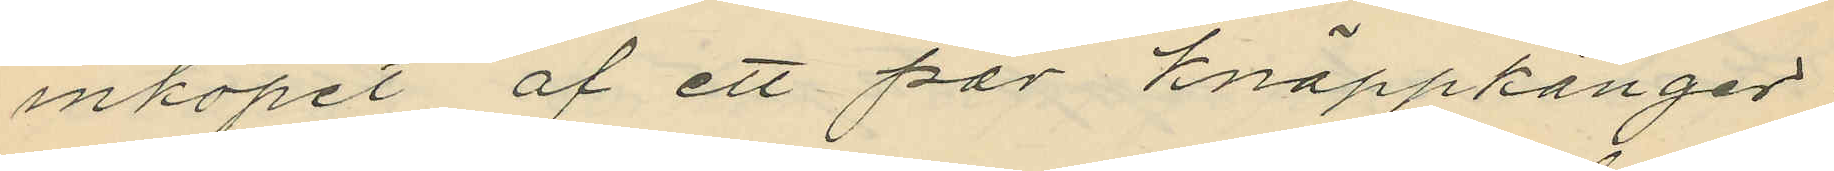inköpet af ett par knäppkänger;
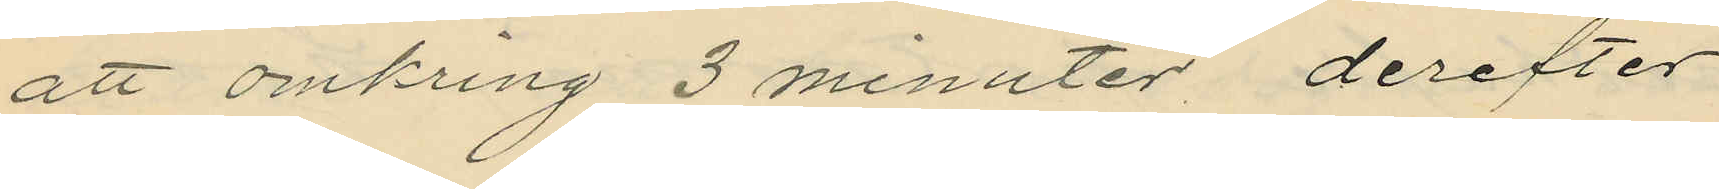att omkring 3 minuter derefter
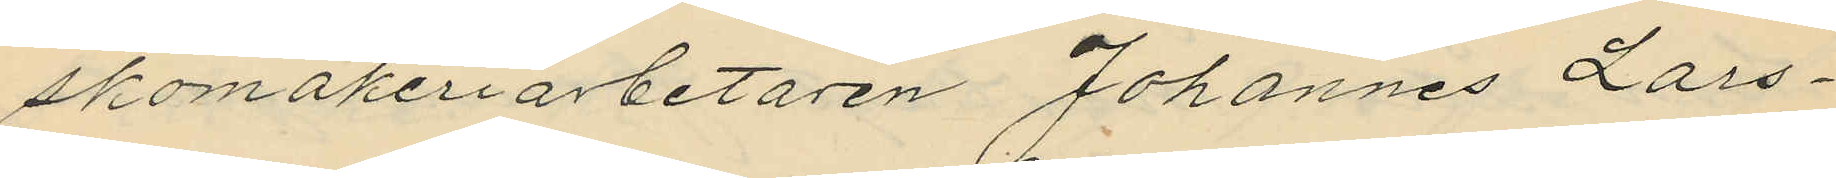skomakeriarbetaren Johannes Lars¬
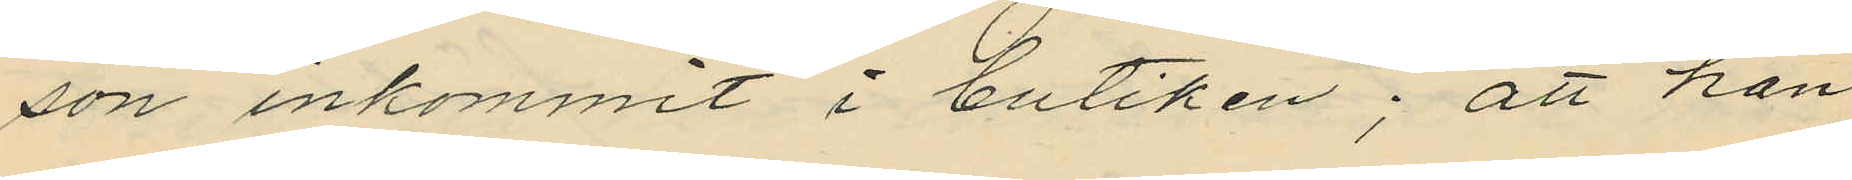son inkommit i butiken; att han
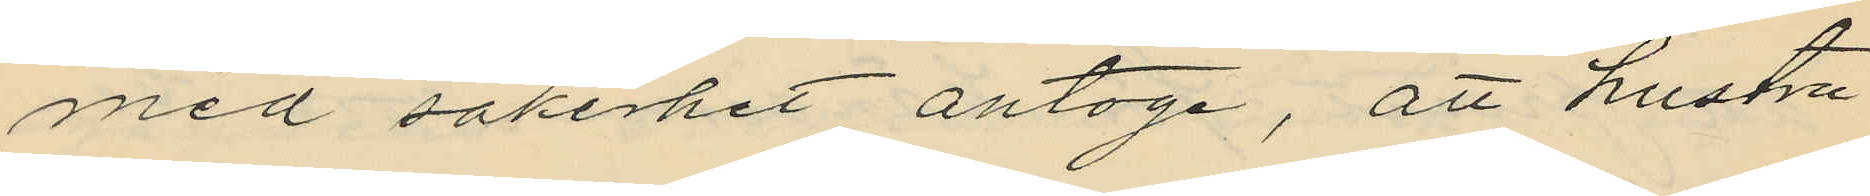med säkerhet antoge, att hustru
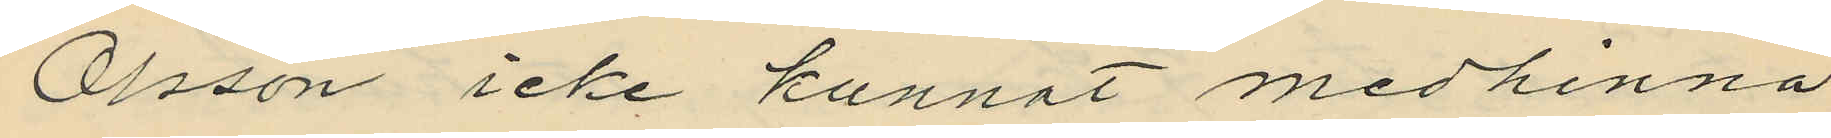Olsson icke kunnat medhinna
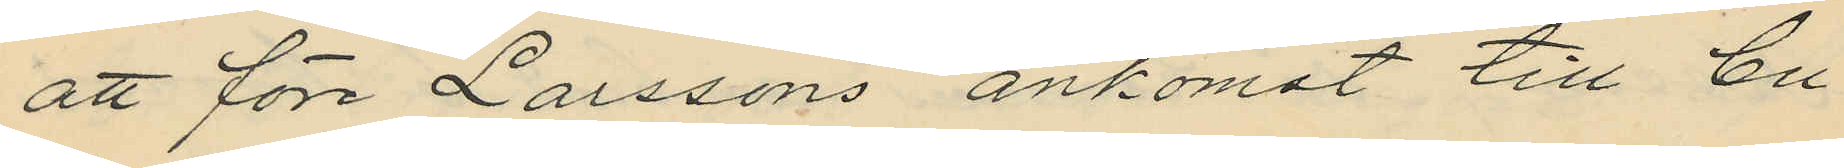att före Larssons ankomst till bu¬
